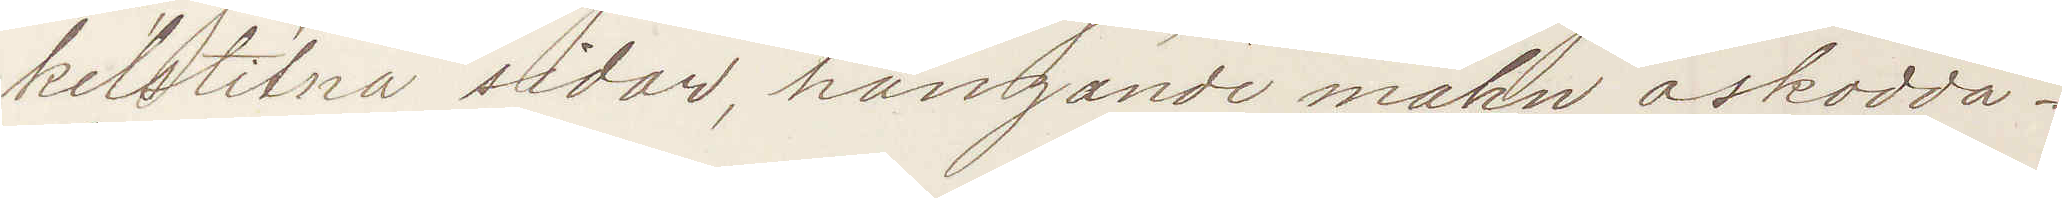kelslitna sidor, hängande mahn askodda
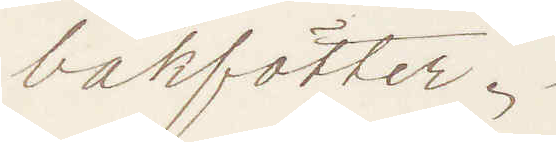bakfötter.
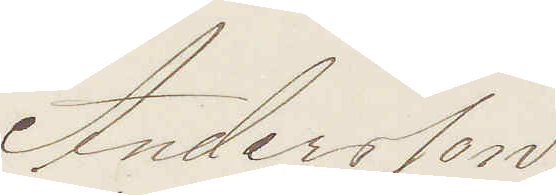Andersson
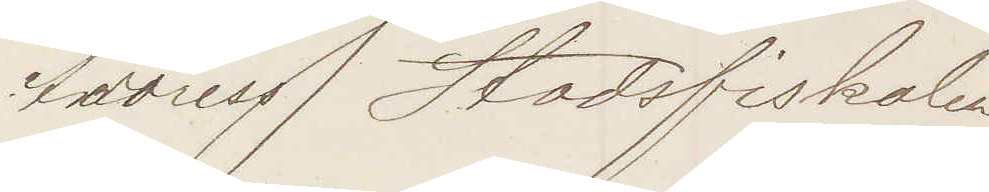Address Stadsfiskalen
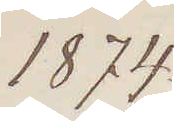1874
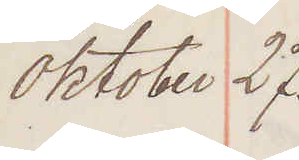Oktober 27.
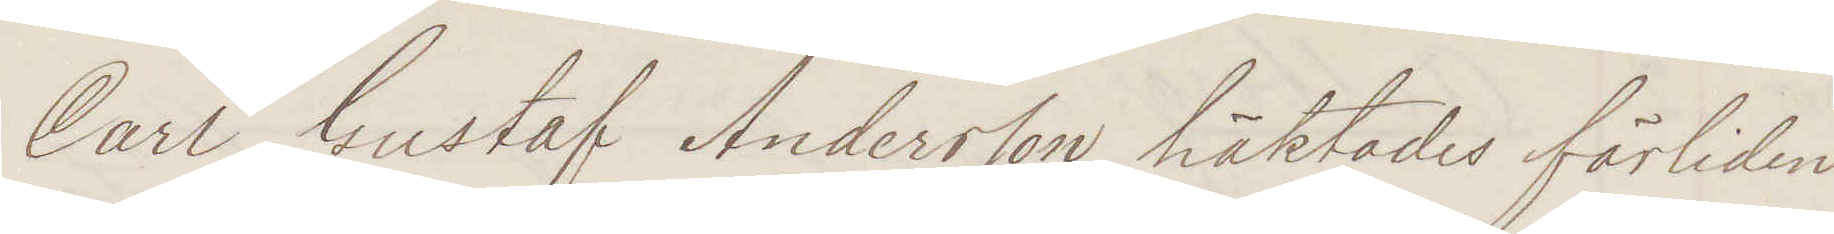Carl Gustaf Andersson häktades förliden
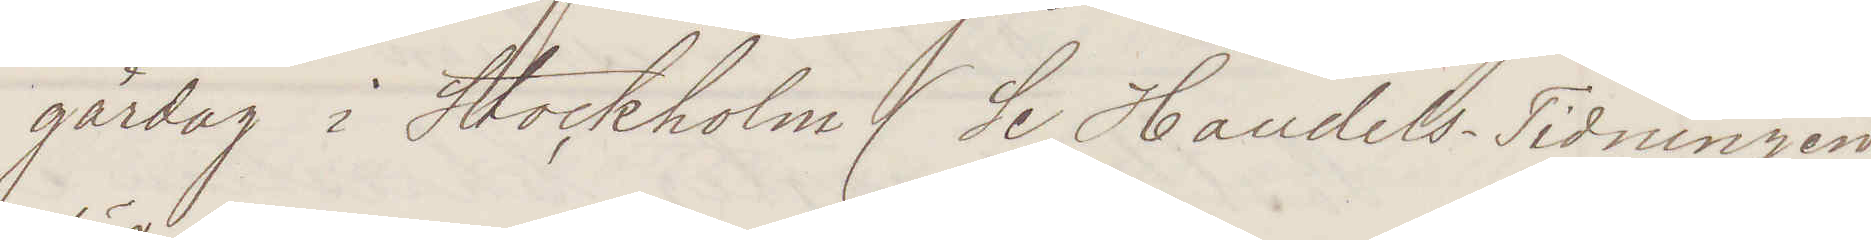gårdag i Stockholm (Se Handels-Tidningen
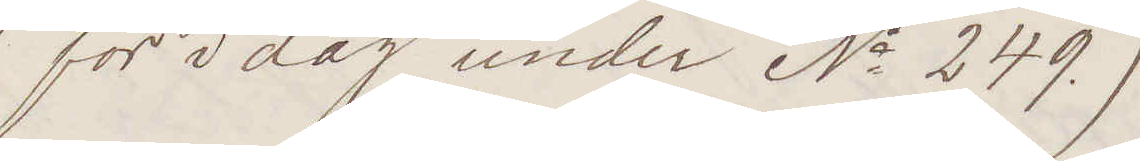för idag under No 249.)
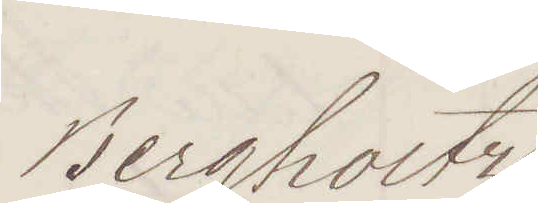Bergholtz
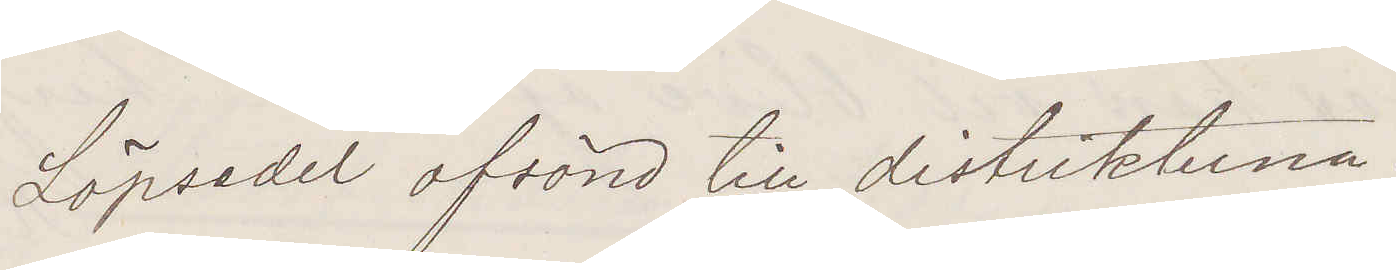Löpsedel afsänd till distrikterna.
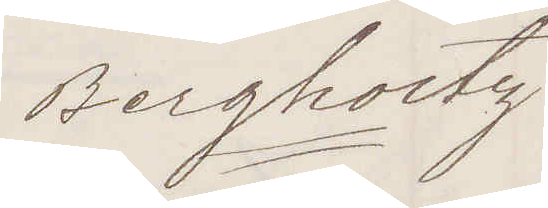Bergholtz
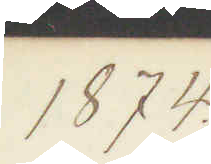1874.
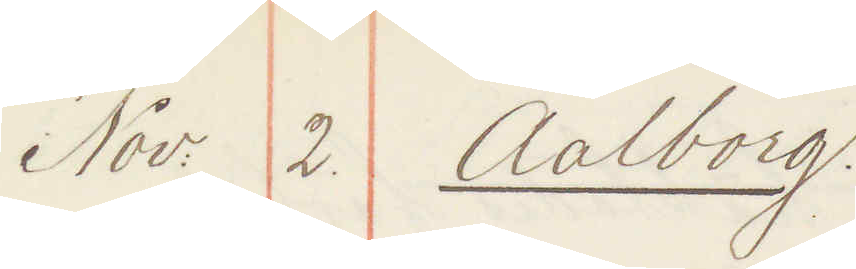Nov. 2. Aalborg.
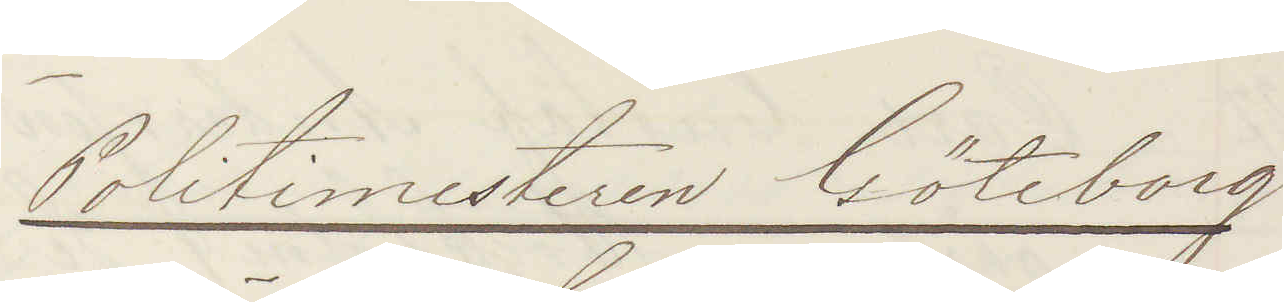Politimesteren Göteborg.
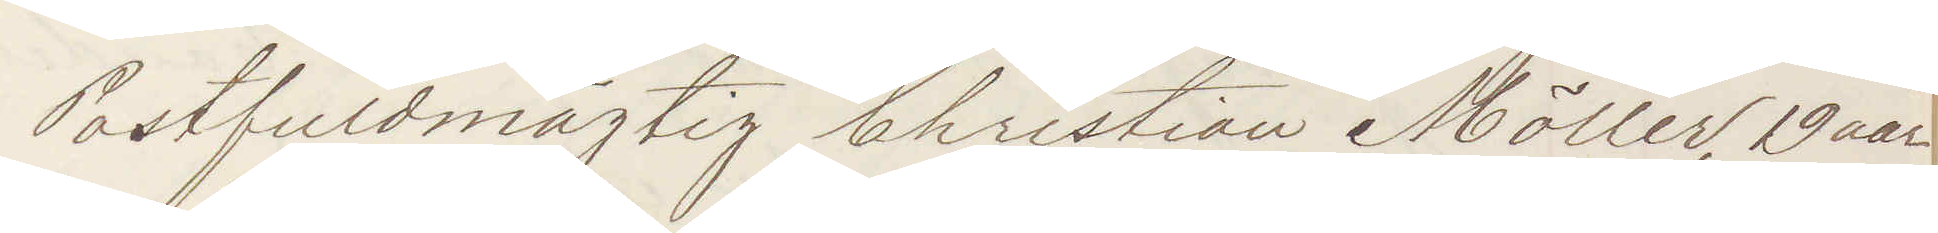Postfuldmägtig Christian Möller, 19 aar
